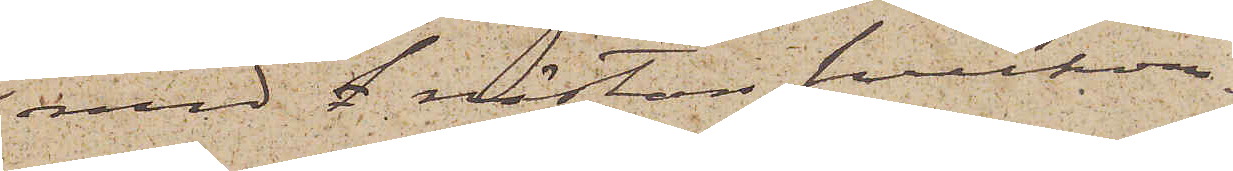med f nästan fullkom¬
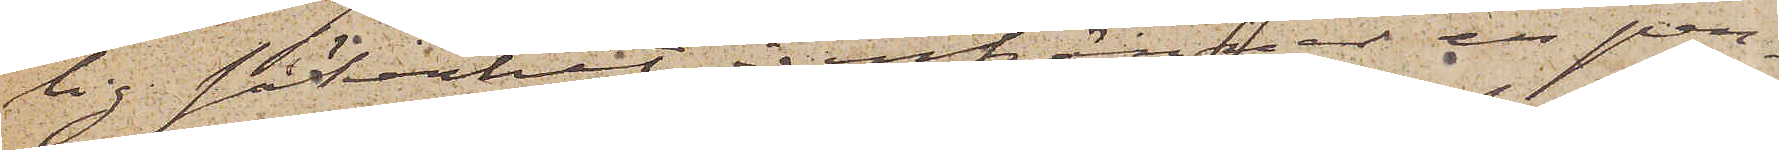lig säkerhet igenkänner en per¬
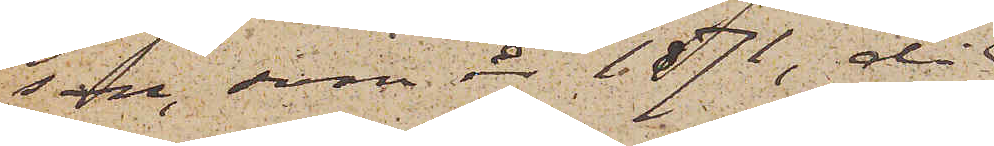son, som år 1871, då
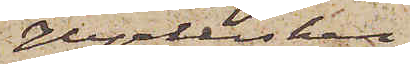Hyrkusken
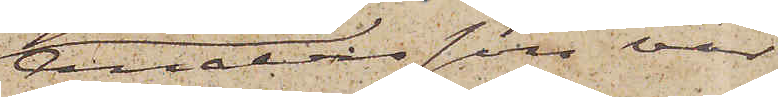Andersson var
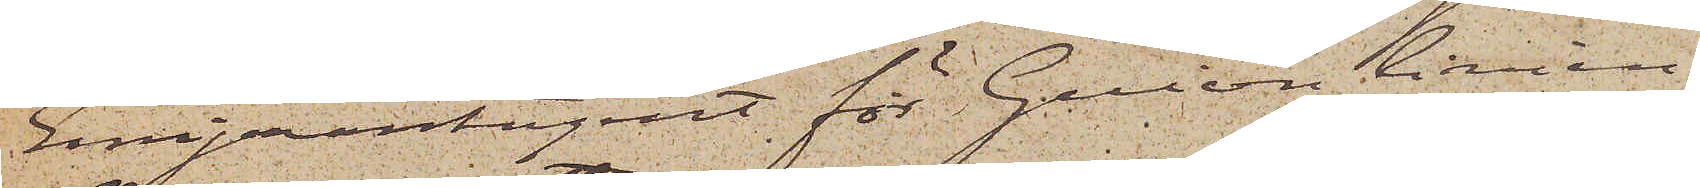Emigrantagent för Guion linien,
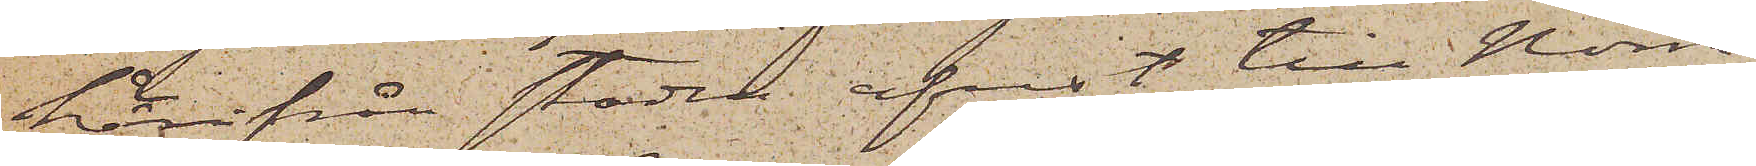härifrån staden afrest till Norra
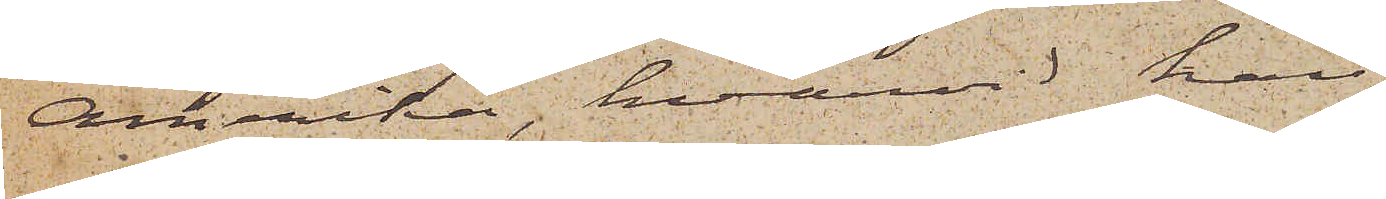Amerika, hvarvid han
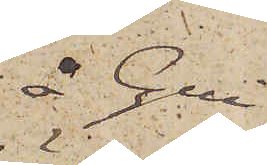å Gui¬
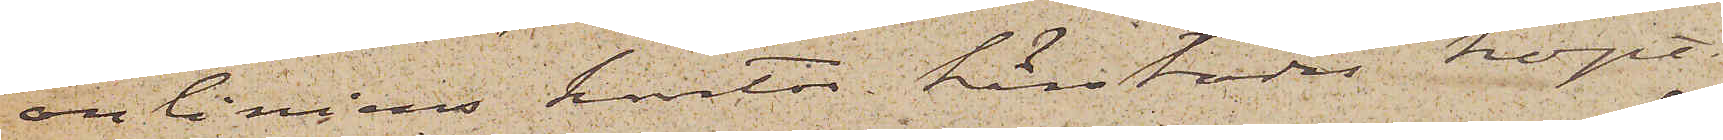on liniens kontor härstädes köpt
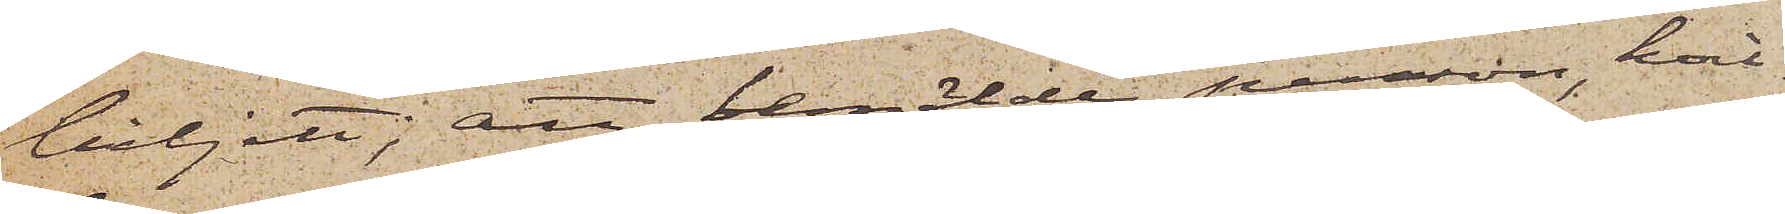biljett; att bemälde person, hvi¬
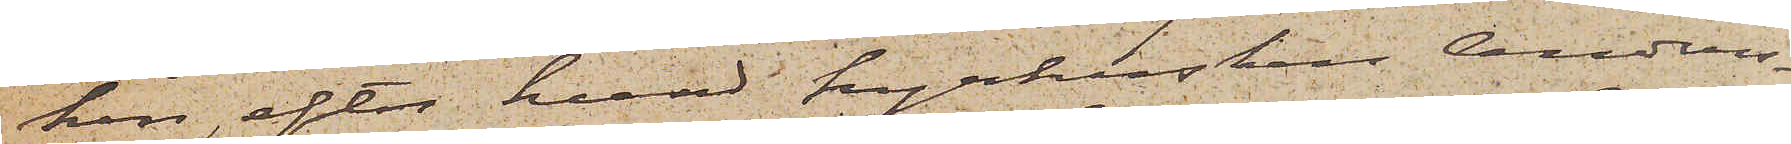ken, efter hvad hyrkusken Anders¬
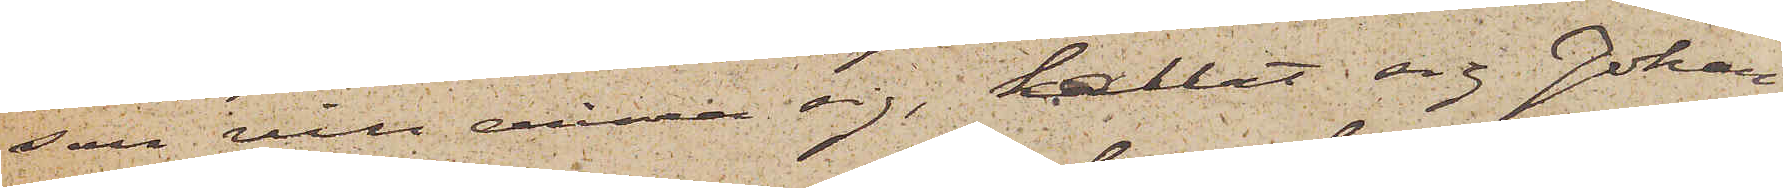son vill erinra sig, kallat sig Johan
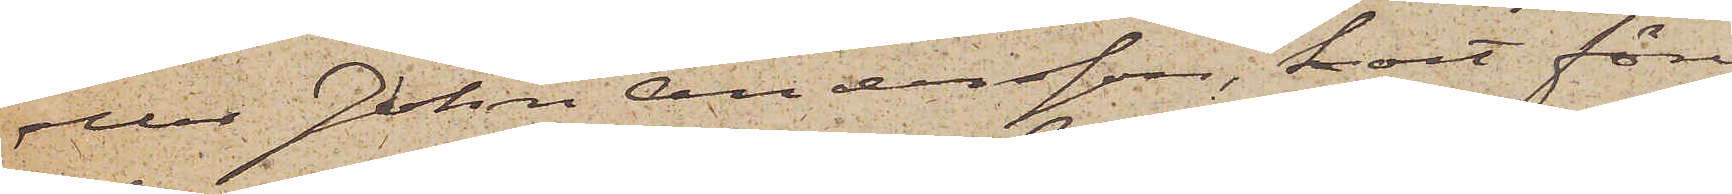eller John Andersson, kort före
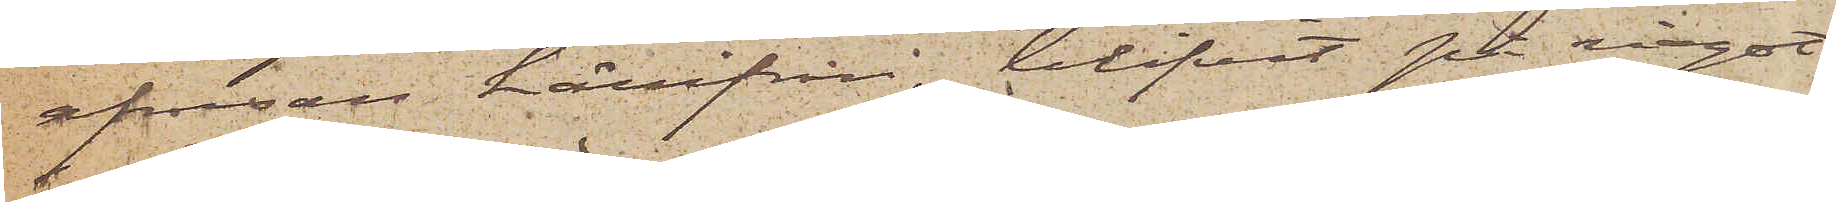afresan härifrån, blifvit på något
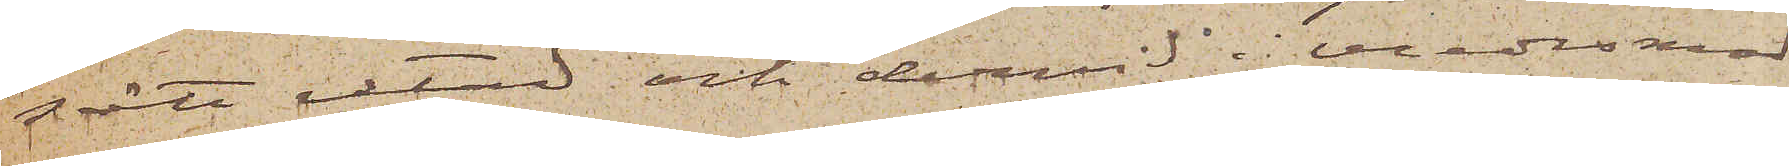sätt retad och dervid i vredesmod
